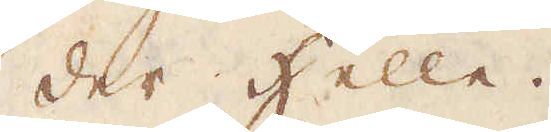der Helle.
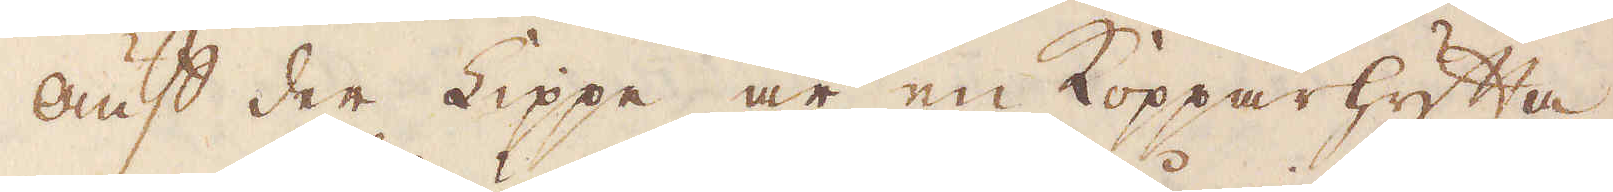Auf der Lippe är en Kopparhytta.
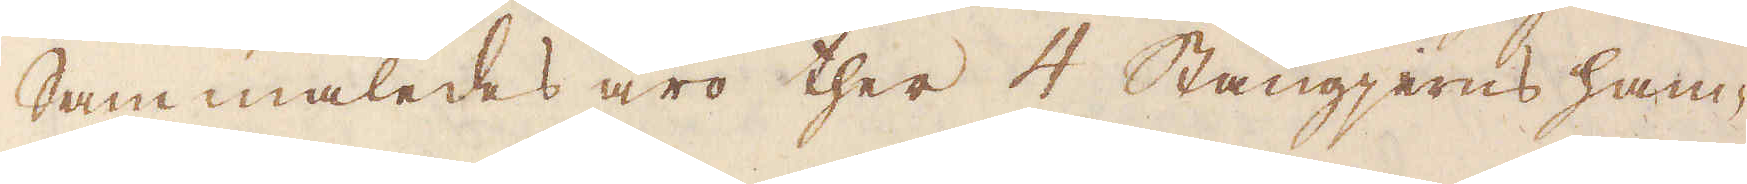Sammaledes äro ther 4 Stångjerns ham-
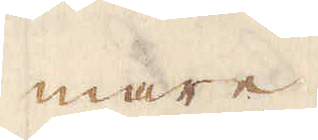mare.
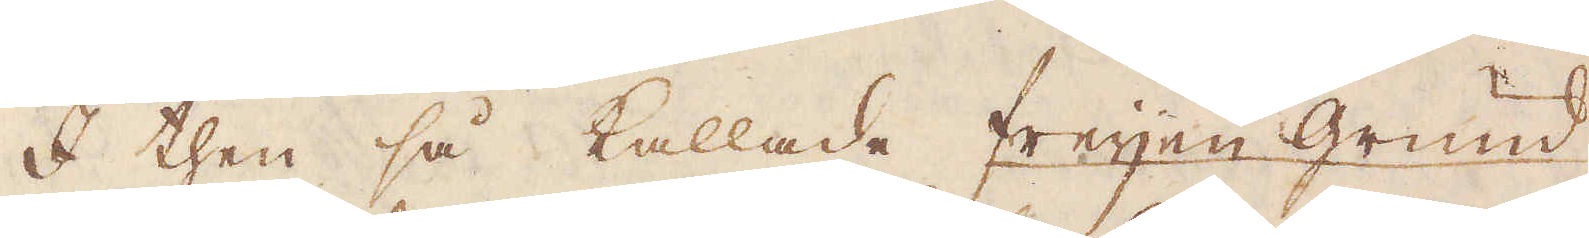I then så kallade Freyen grund
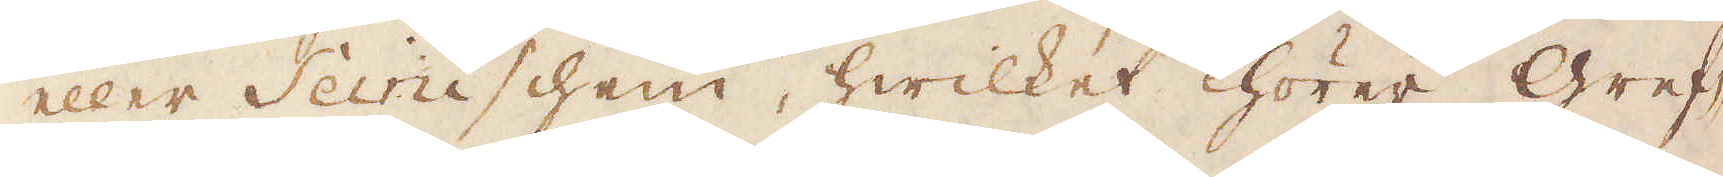eller Seinischen, hwilket hörer Gref-
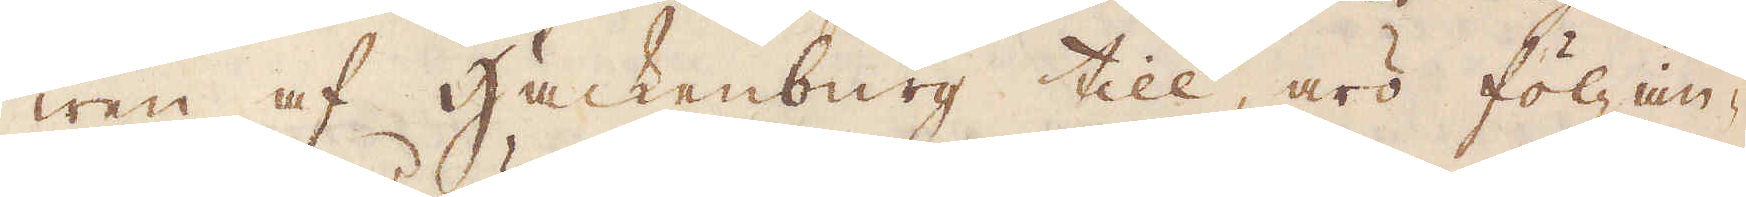wen af Hackenburg till, äro följan-
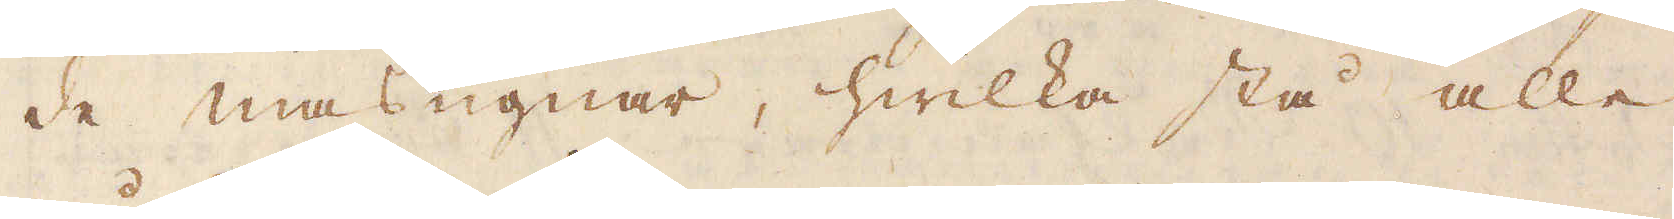de masugnar, hwilka stå alle
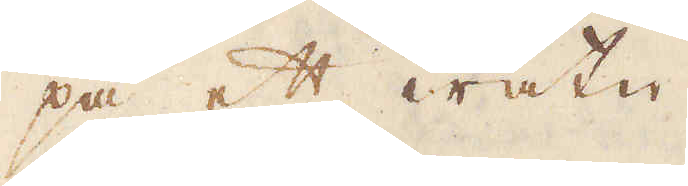på ett watn
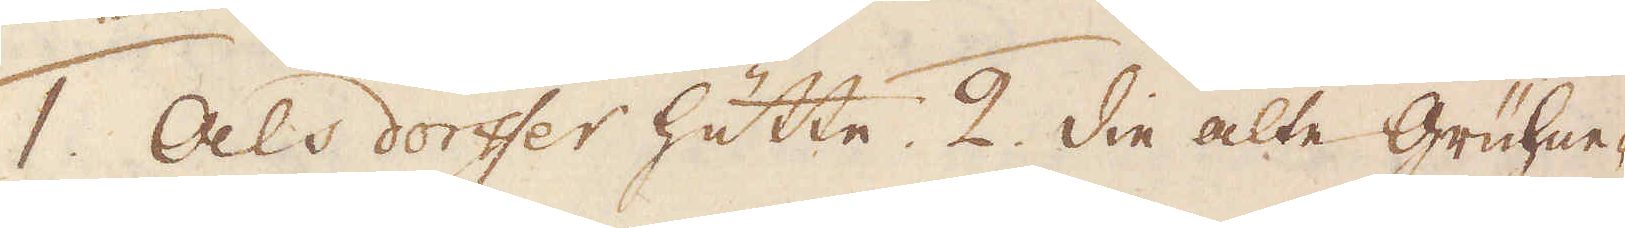1. Als dorffer hütte. 2. Die alte Grühne-
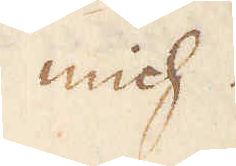mich.
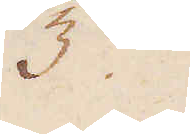3:o
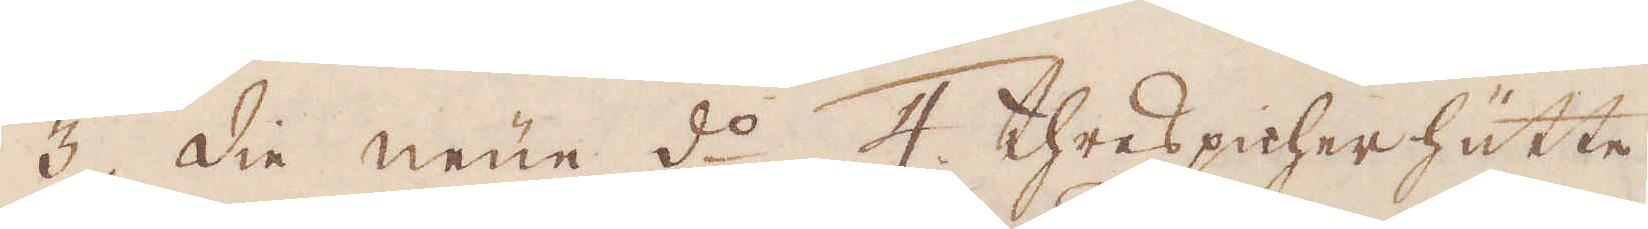3. Die neue d:o 4. Threspicher hütte
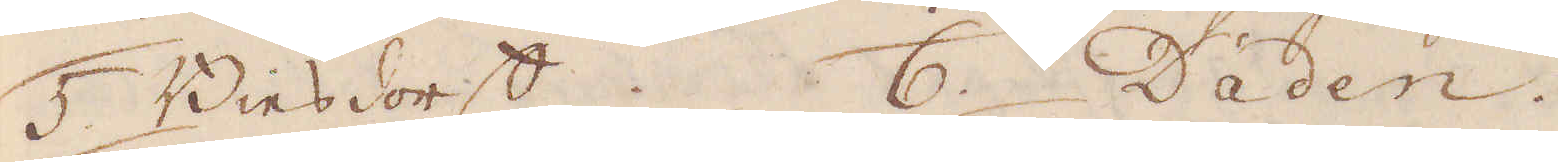5. Biesdorff. 6. Daden.
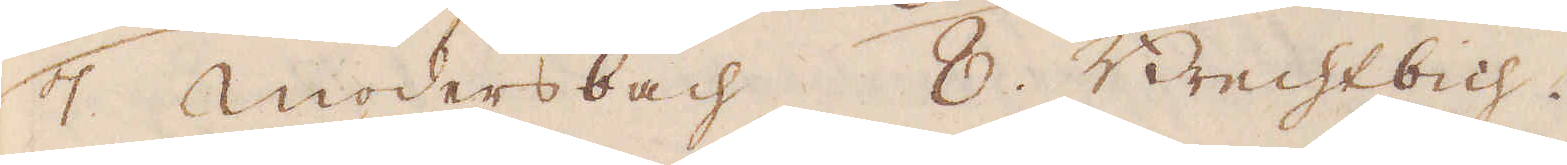7. Modersbach. 8. Brechtbich.
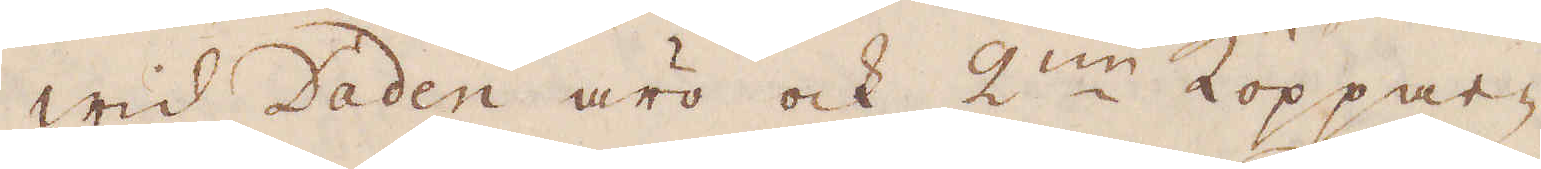Wid Daden äro ock 2:ne Koppar-
